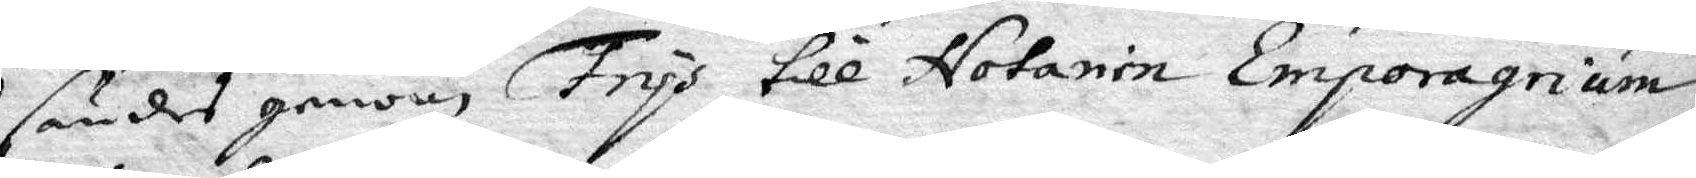sändes genom Frys till Notarie Emporagrium
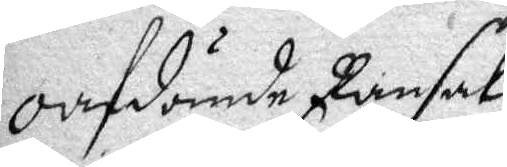Oafdömde Ransak¬
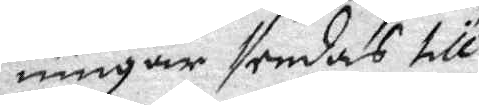ningar sendas till 
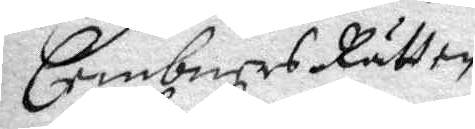Cembners Rätten
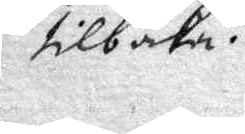tilbaka.
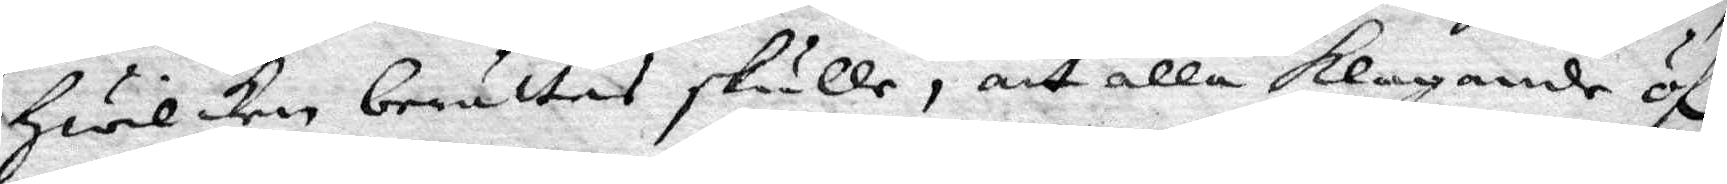Hwilken berättas skulle, att alla klagande öf.r
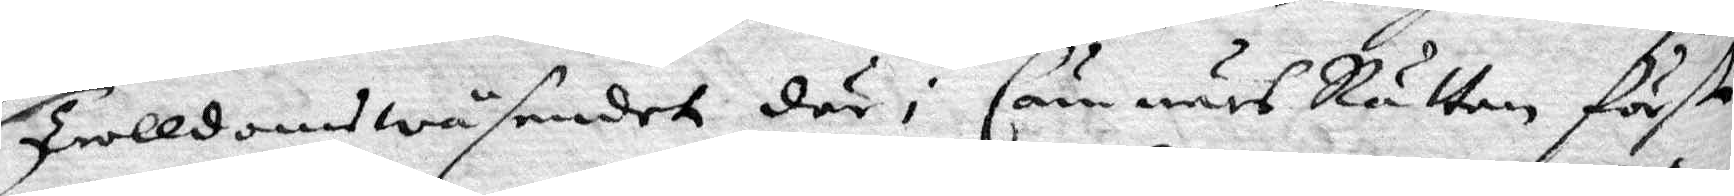Trolldomswäsendet där i Cämnärs Rätten förste
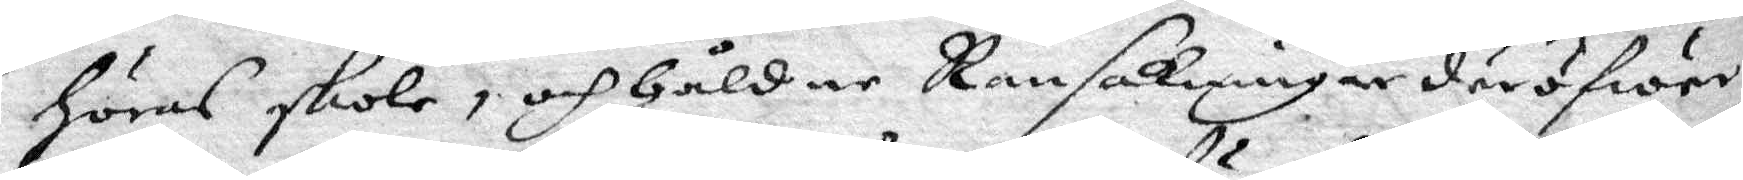höras skole, och håldne Ransakningar däröfwer,
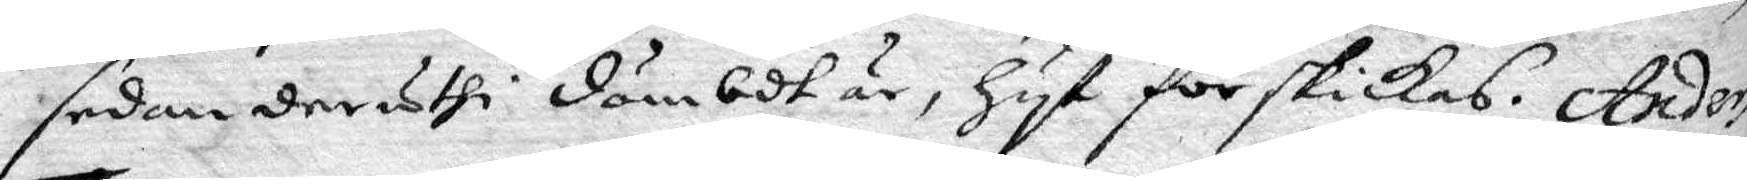sedan deruthi dömbdt är, hyt förskickas. Anders
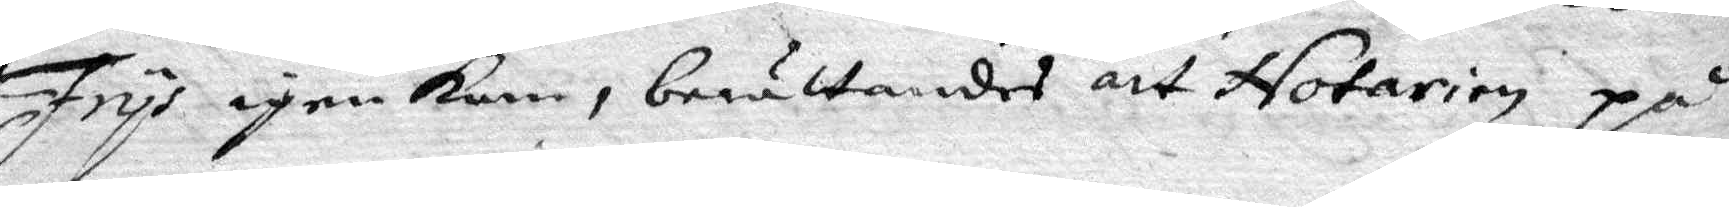Frys igen kom, berättandes att Notarien på
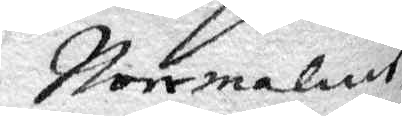Norrmalms
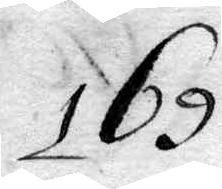169.
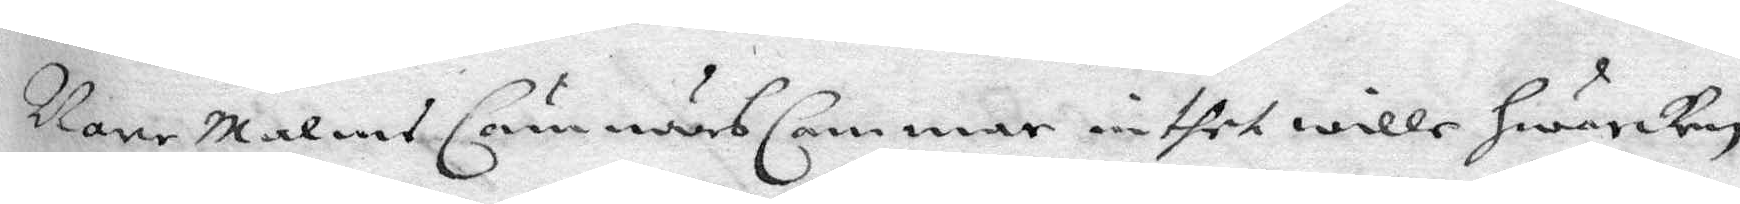Nore Malms Cämnärs Cammar inthet wille hwarken
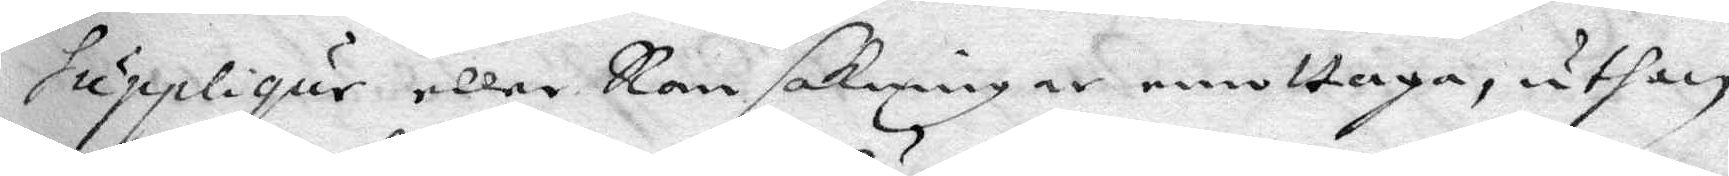Suppliqur eller Ransakningar emottaga, uthan
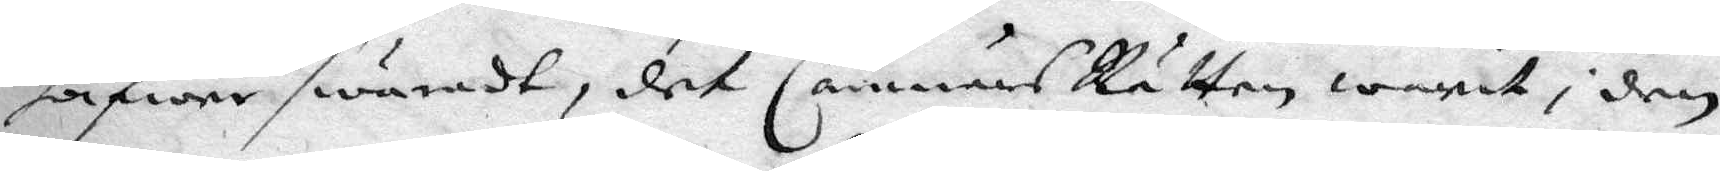hafwer swarat, det Cämnärs Rätten warit i den
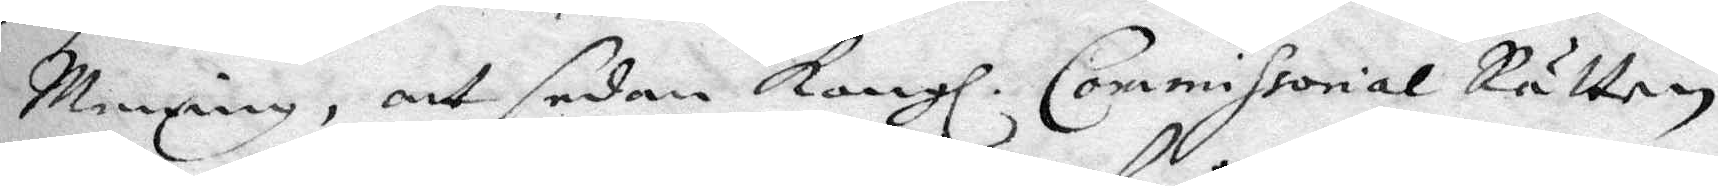Menning, att sedan Kongl. Commissorial Rätten
